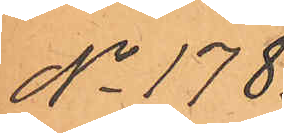No 178.
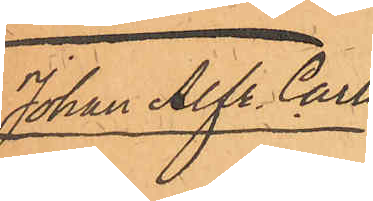Johan Alfr. Carls-
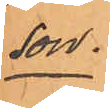son.
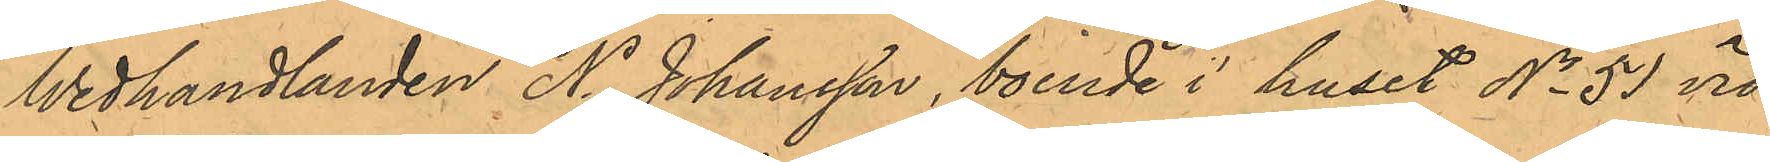Wedhandlanden N. Johansson, boende i huset No 51 vid
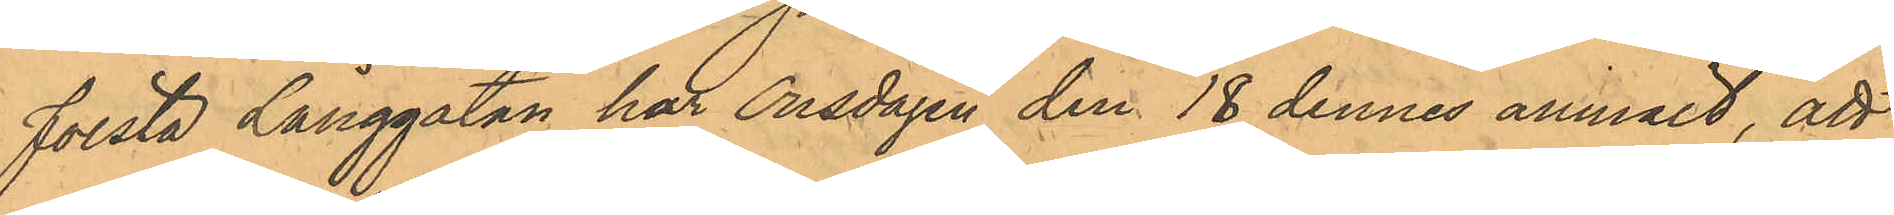Första Långgatan har Onsdagen den 18 dennes anmält, att
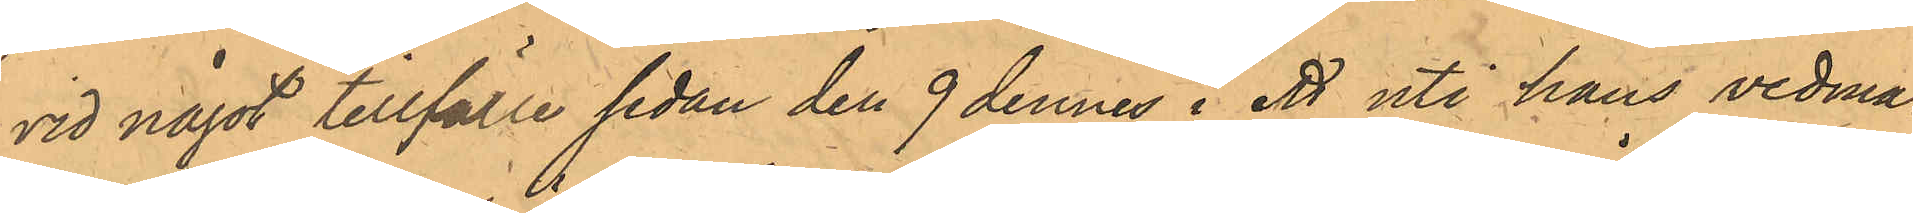vid något tillfälle sedan den 9 dennes i ett uti hans vedma¬
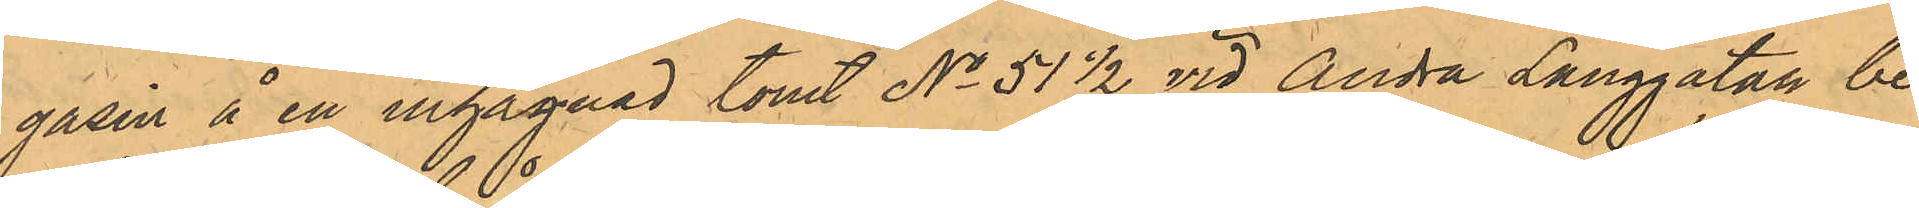gasin å en inhägnad tomt No 51 1/2 vid Andra Långgatan be¬
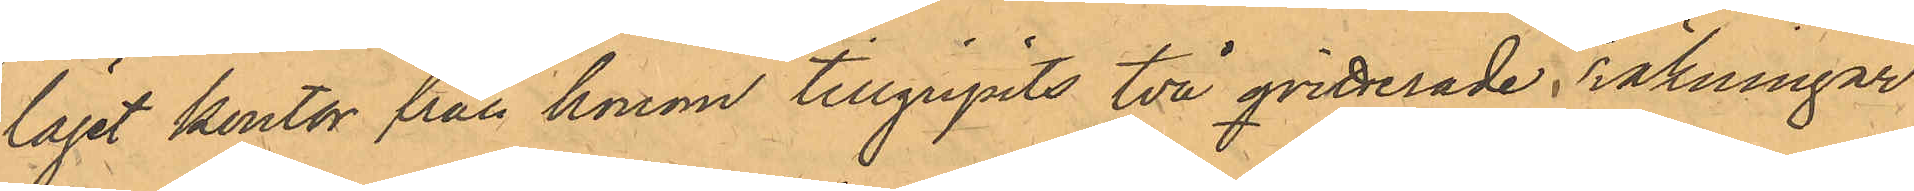läget kontor från honom tillgripits två qvitterade räkningar
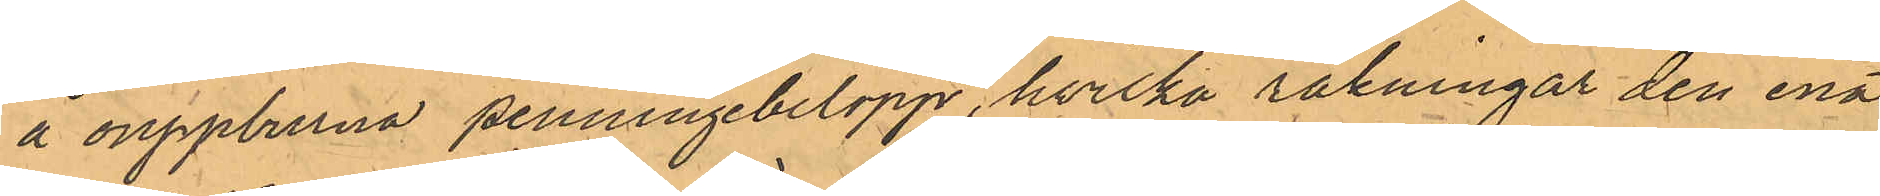å ouppburna penningebelopp, hvilka räkningar den ena
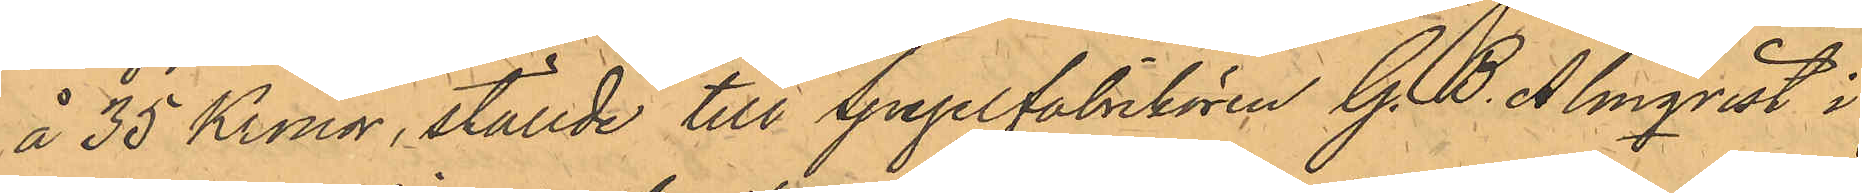å 35 Kronor, ställde till Spegelfabrikören G. B. Almqvist i
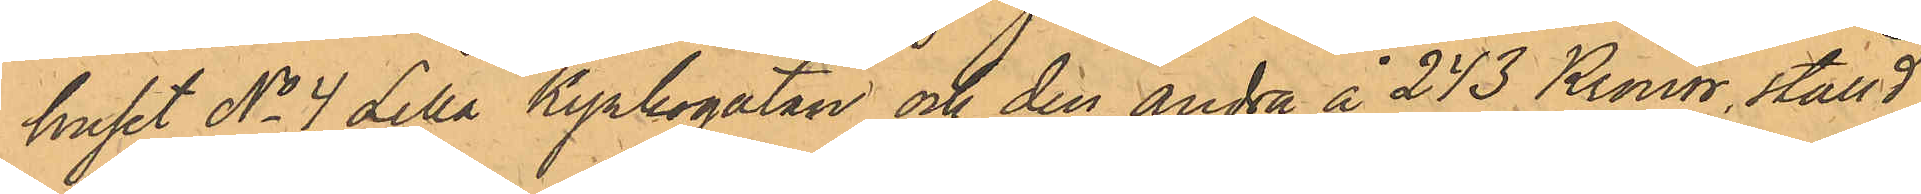huset No 4 Lilla Kyrkogatan och den andra å 243 Kronor, ställd
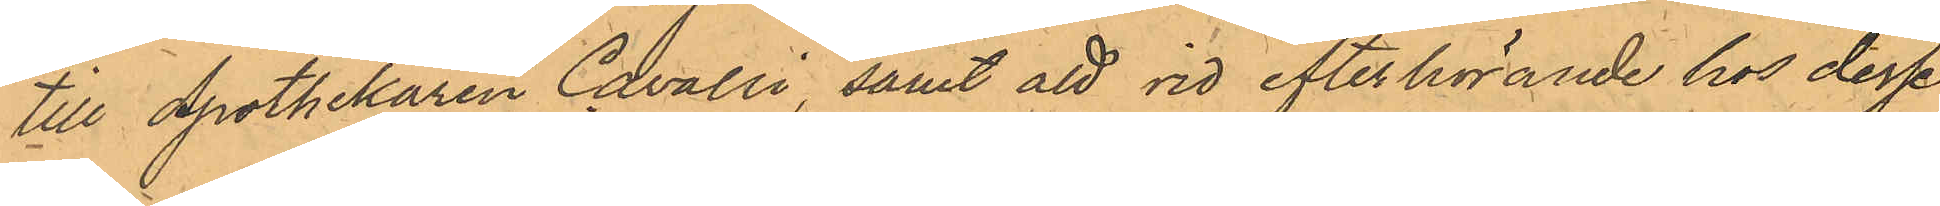till Apothekaren Cavalli, samt att vid efterhörande hos desse
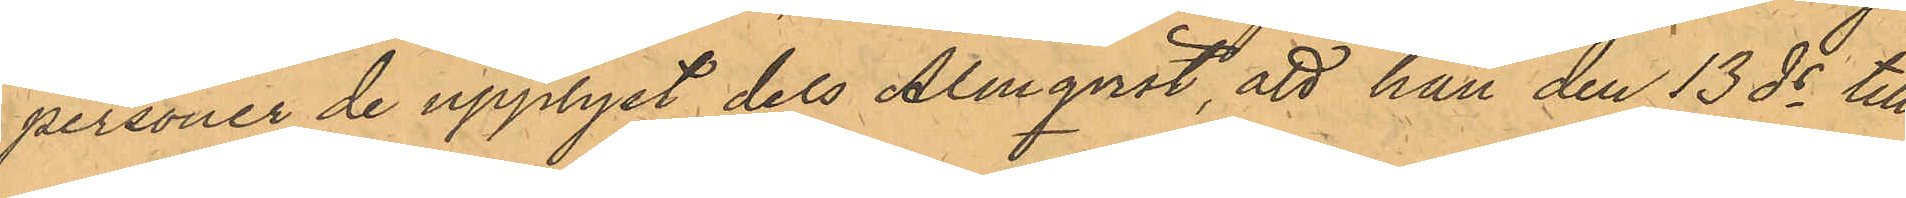personer de upplyst dels Almqvist, att han den 13 ds till
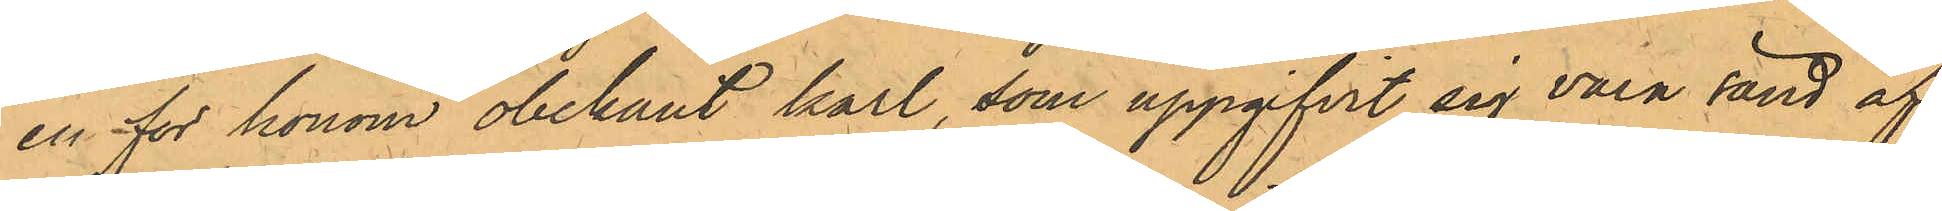en för honom obekant karl, som uppgifvit sig vara sänd af
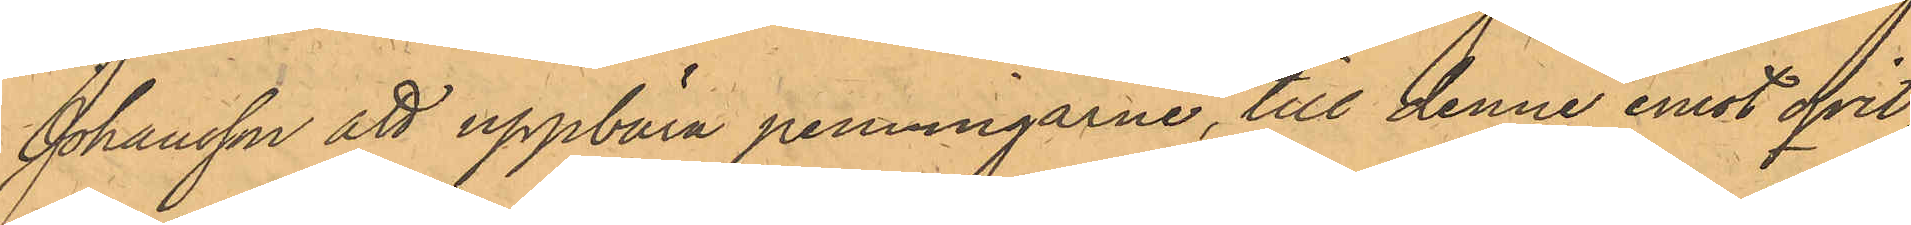Johansson att uppbära penningarne, till denne emot qvit¬
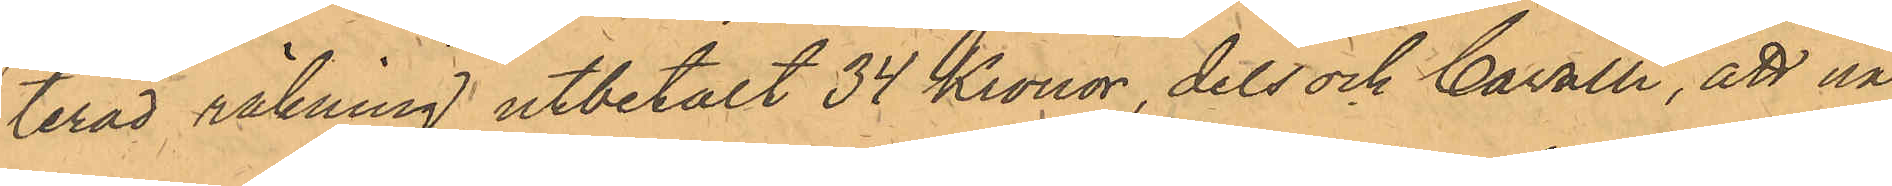terad räkning utbetalt 34 Kronor, dels ock Cavalli, att nå¬
